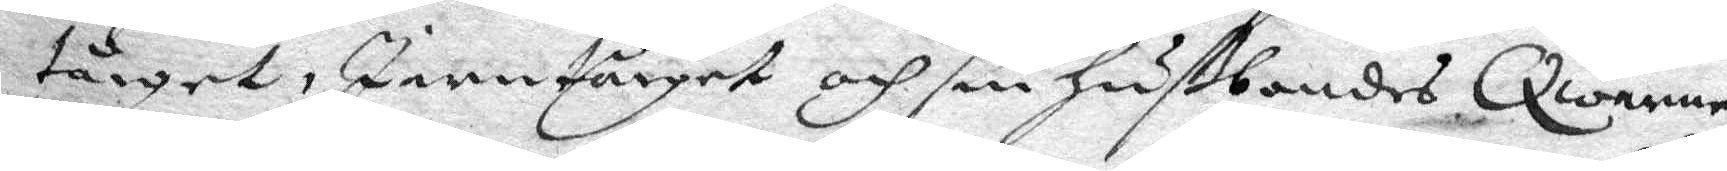tårget, Jerntårget och sin Hußbondes Qwarne¬
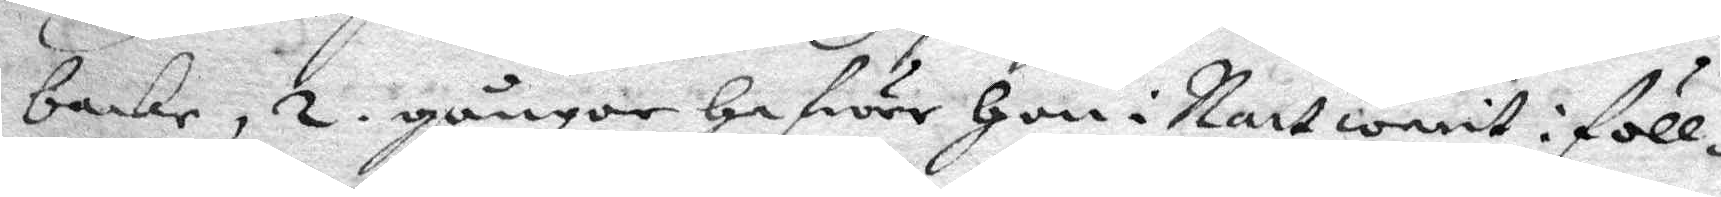backe, 2. gånger hafwer Hon i Natt warit i föll¬
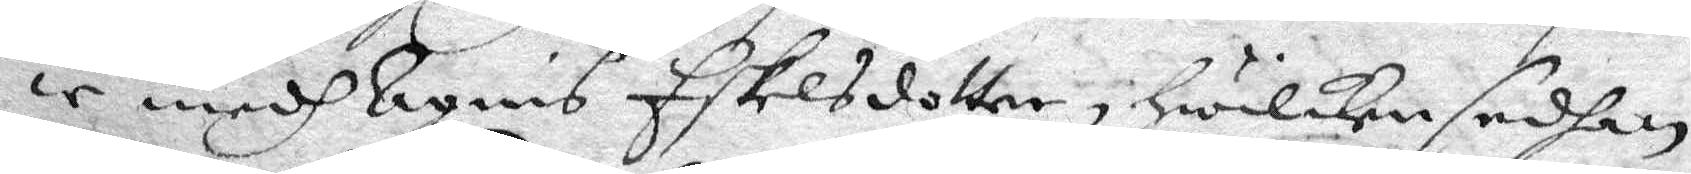ie medh Agnis Eskelsdotter, Hwilken sedhan
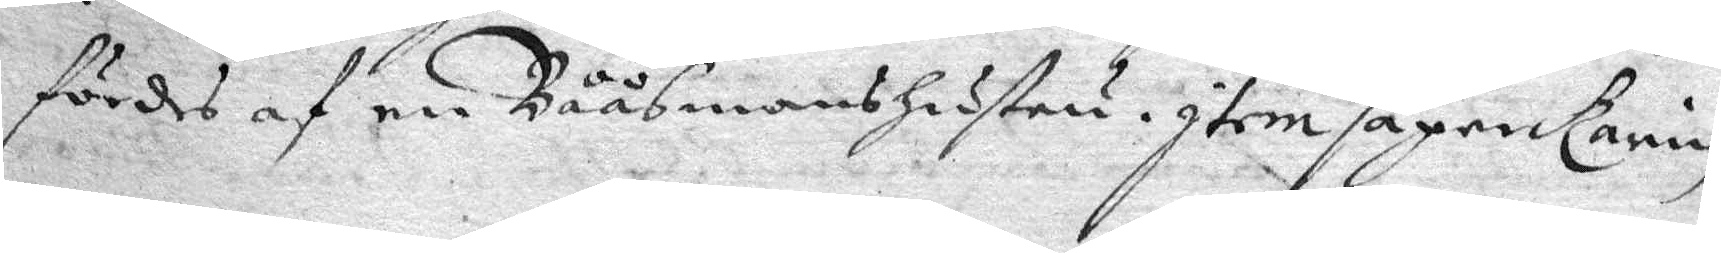fördes af en BååsmansHustru. Item säger Karin
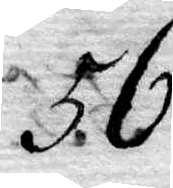56.
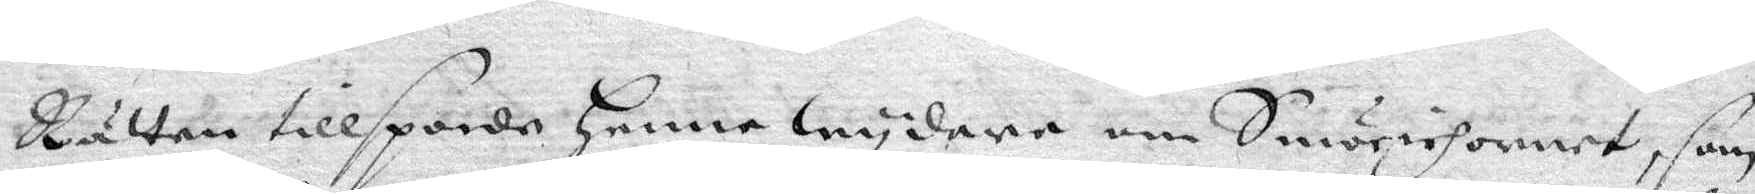Rätten tillsporde Henne wydare om Smöriehornet, som
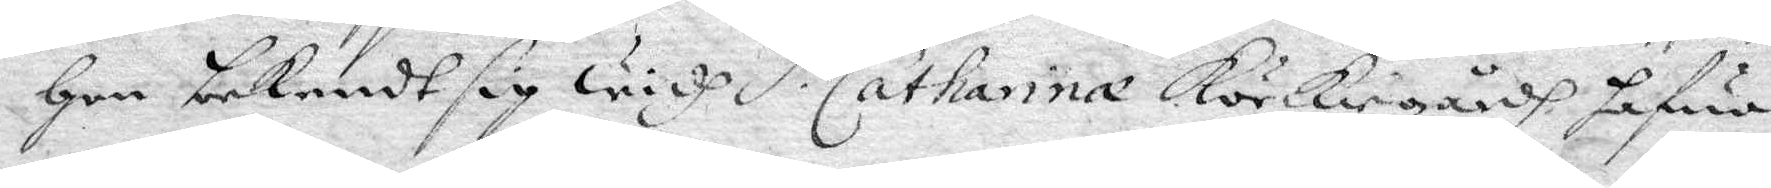Hon bekendt sig widh S. Catharina körkiegårdh hafua
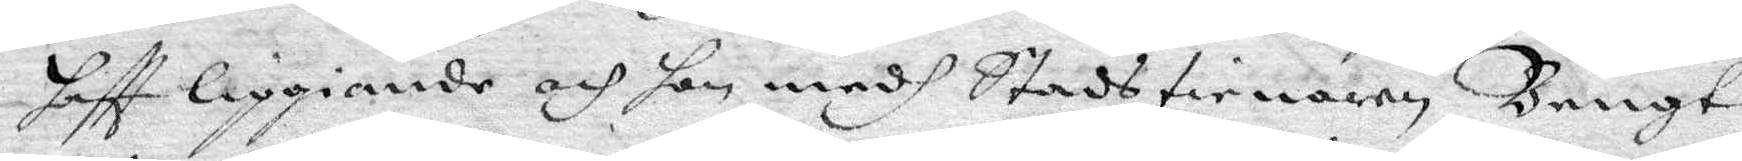haftt liggiande och hon medh Stadstienaren Bengt
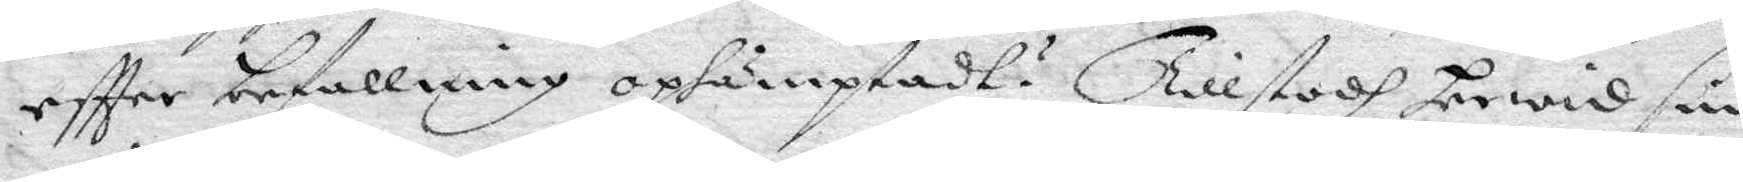eftter befallning ophämptadt? Tillstodh Arwid sin
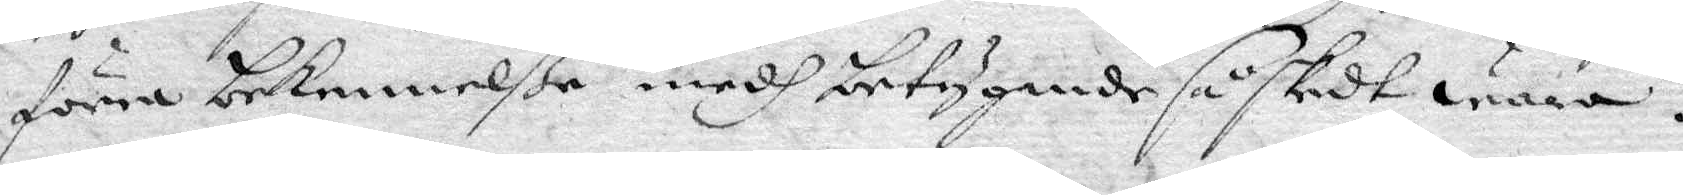förra bekennelße medh betygande så skedt wara.
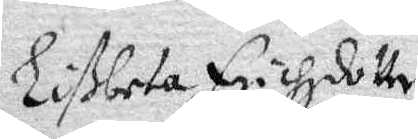Libeta Erichzdotter
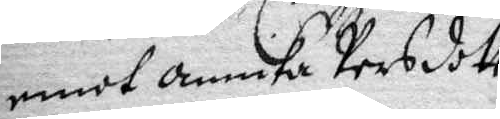emot Annika Persdott.r
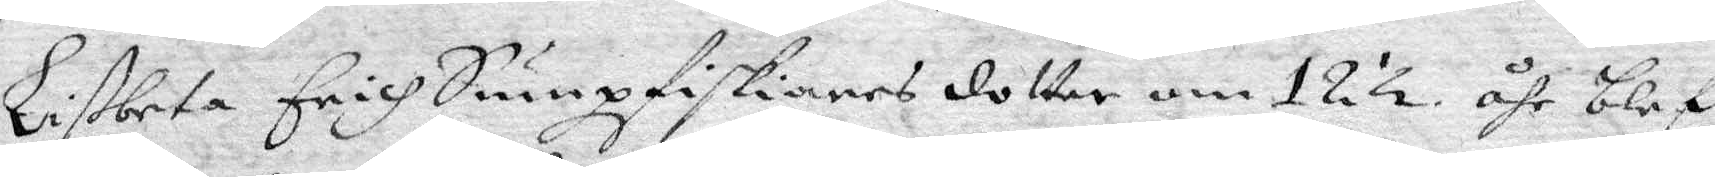Libeta Erich Sumpfiskiares dotter om 12 ½ åhr blef
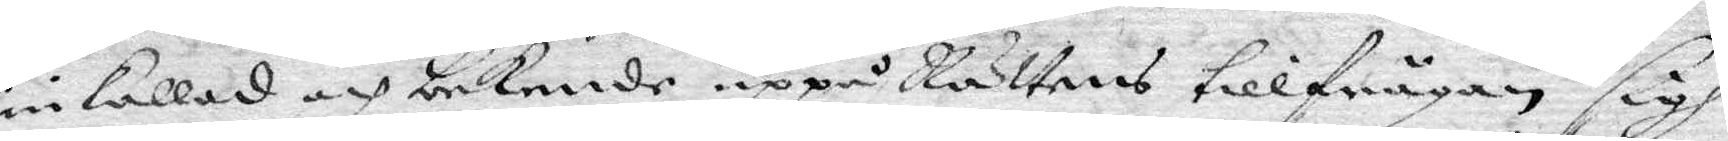inkallad och bekende uppå Rättens tillfrågan sigh
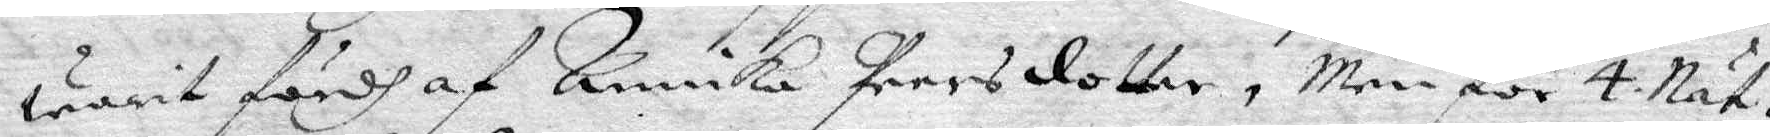warit fördh af Annika Persdotter, Men för 4 Nät¬
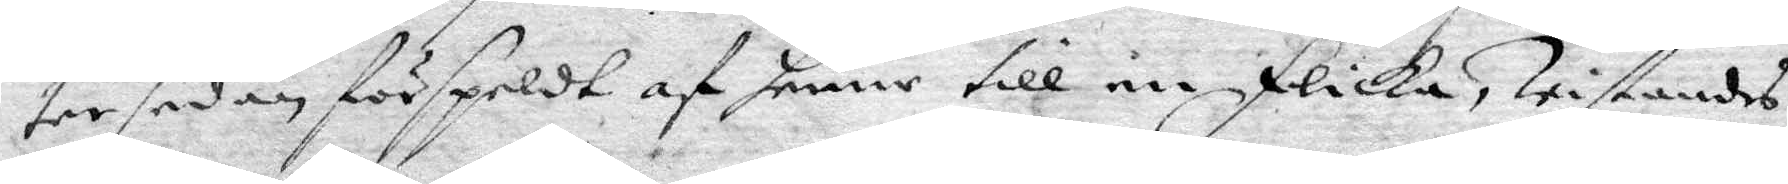ter sedan förspeldt af henne till en flicka, wistandes
